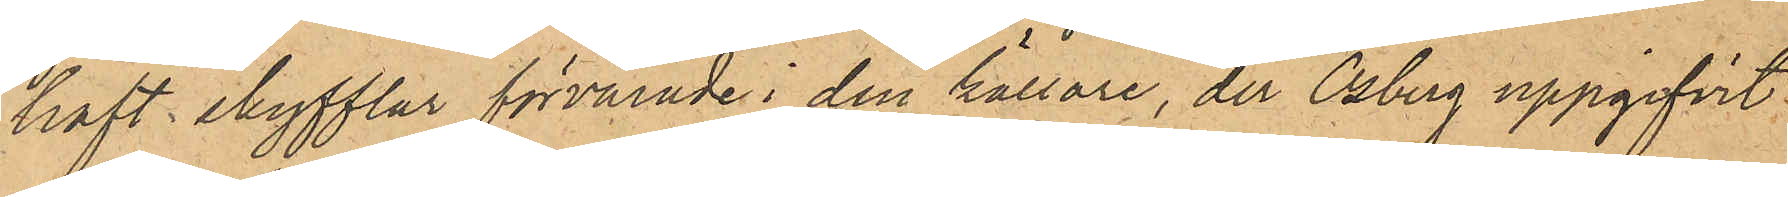haft skyfflar förvarade i den källare, der Osberg uppgifvit
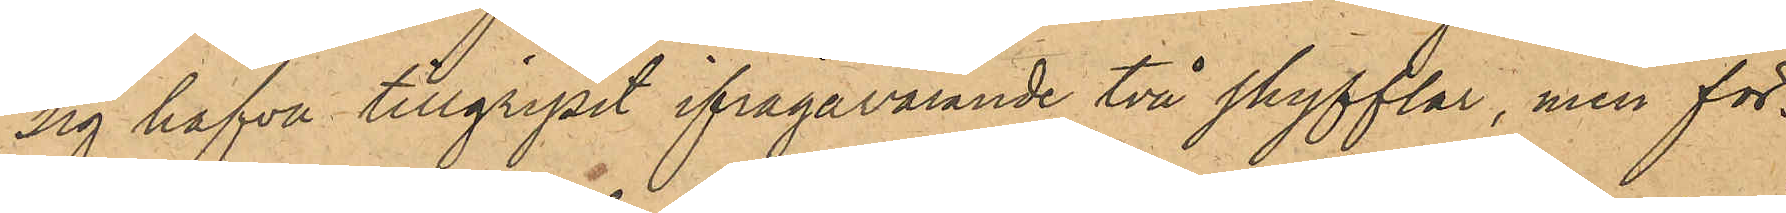sig hafva tillgripit ifrågavarande två skyfflar, men för¬
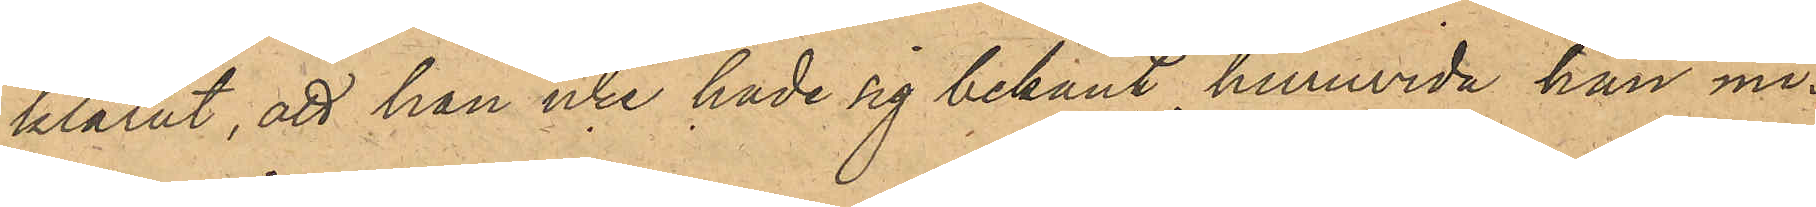klarat, att han icke hade sig bekant huruvida han mi¬
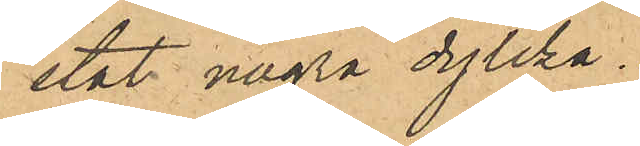stat några dylika.
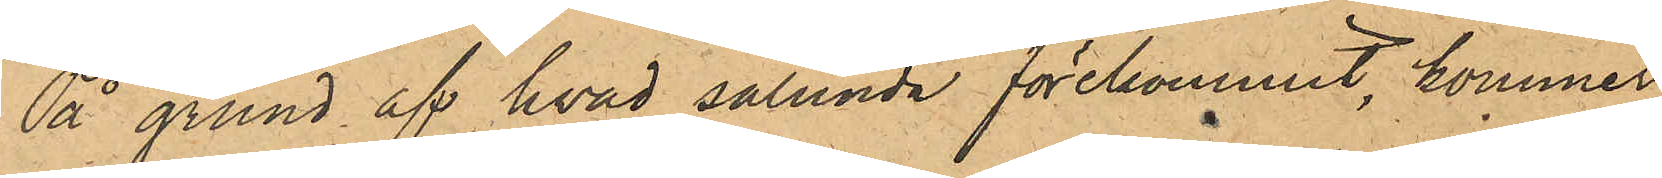På grund af hvad sålunda förekommit, kommer
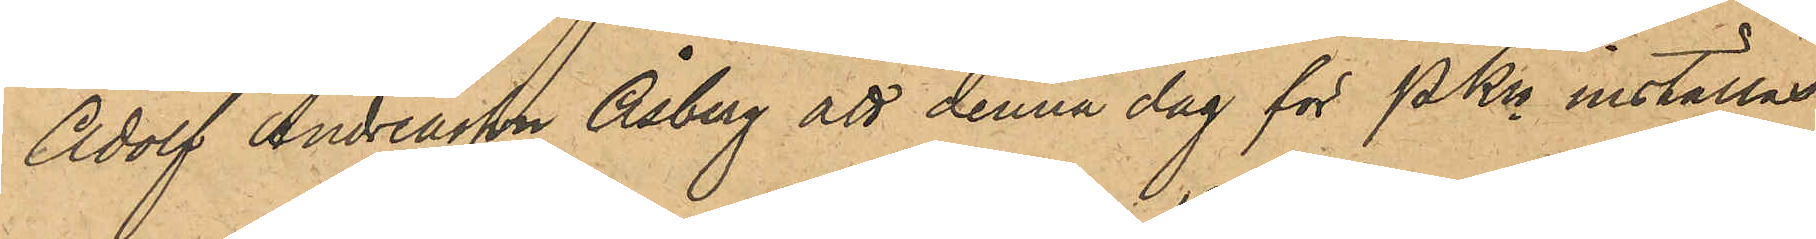Adolf Andreasson Åsberg att denna dag för PKn inställas.
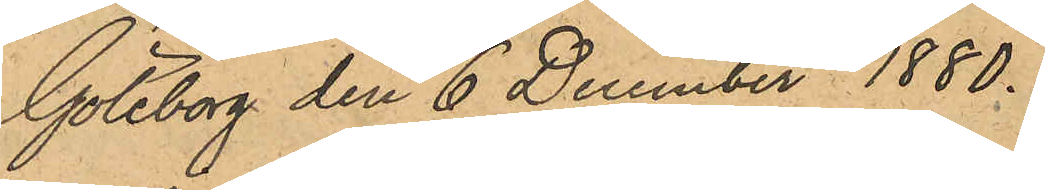Göteborg den 6 December 1880.
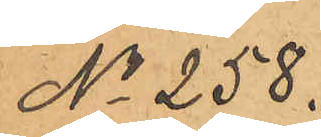No 258.
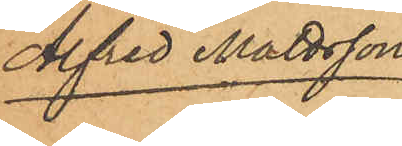Alfred Mattsson.
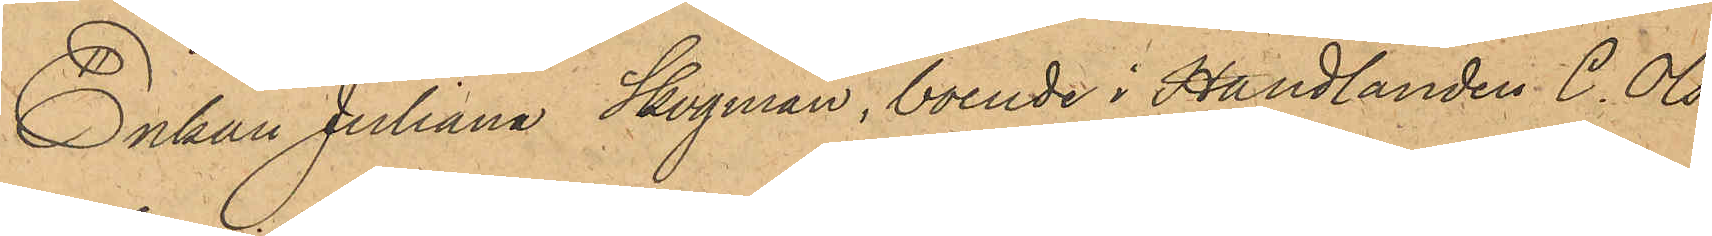Enkan Juliana Skogman, boende i Handlanden C. Ols¬
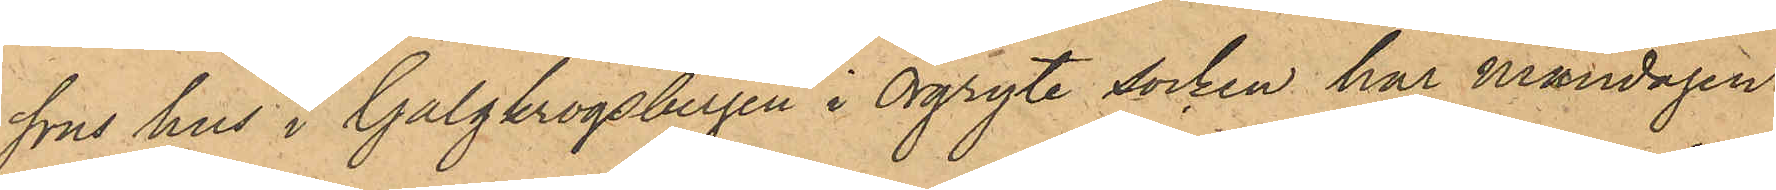sons hus i Galgkrogsbergen i Örgryte socken har måndagen
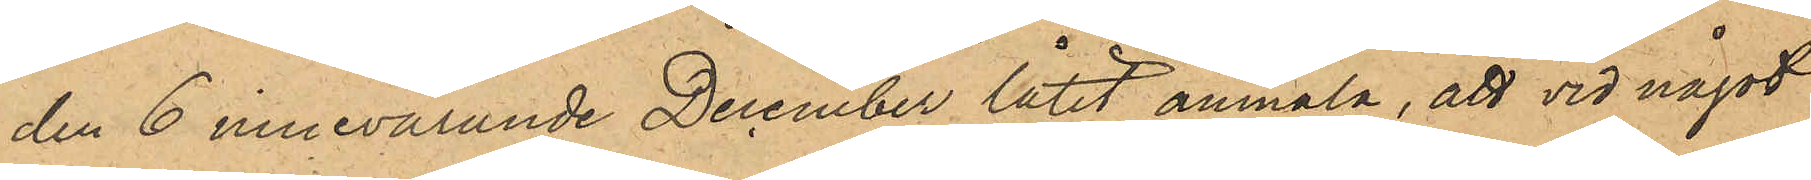den 6 innevarande December låtit anmäla, att vid något
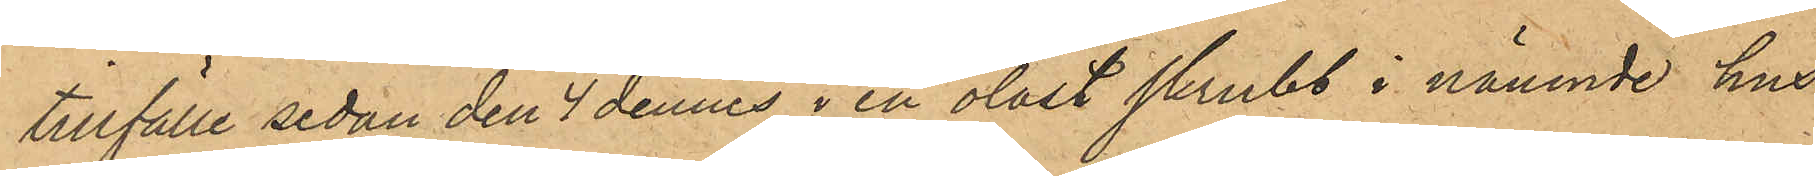tillfälle sedan den 4 dennes i en olåst skrubb i nämnde hus
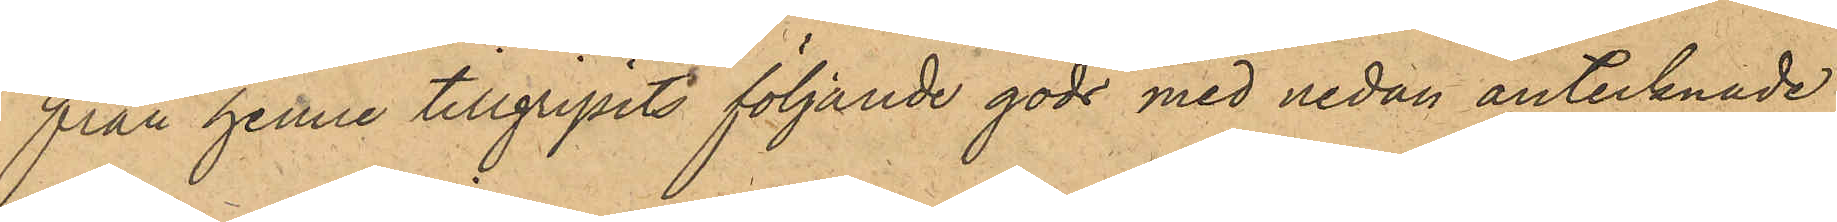från henne tillgripits följande gods med nedan antecknade
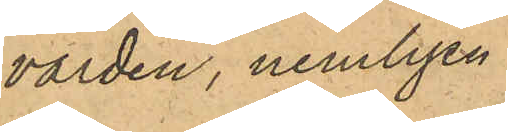värden, nemligen:
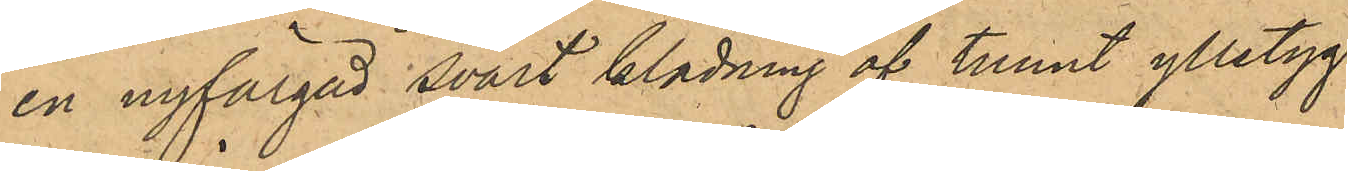en nyfärgad svart klädning af tunnt ylletyg
